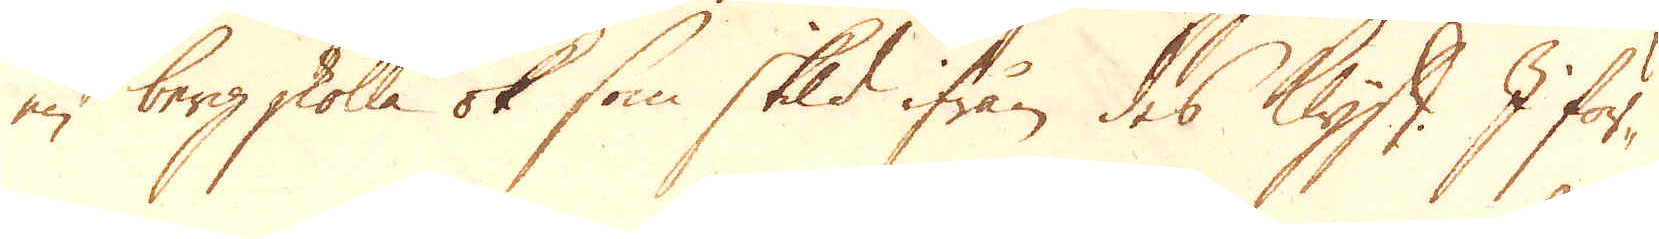en bergskolle ok som skilld ifrån des Klyft I för-
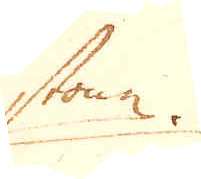ston.
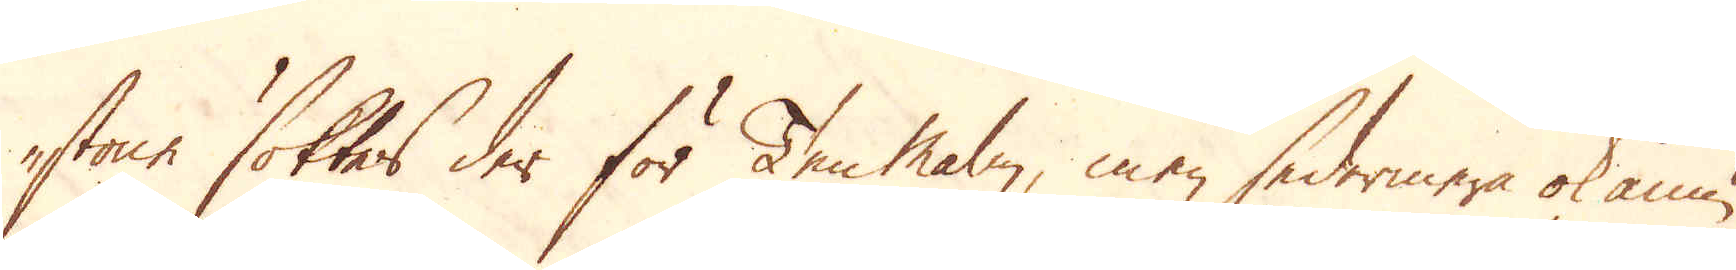stone söktes der för Ten malm, men sedermera ok ännu
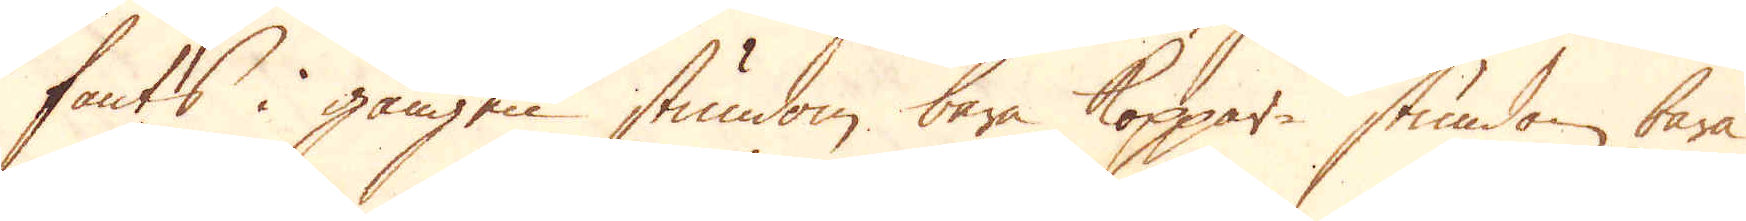fants i gången stundom bara Koppar stundom bara
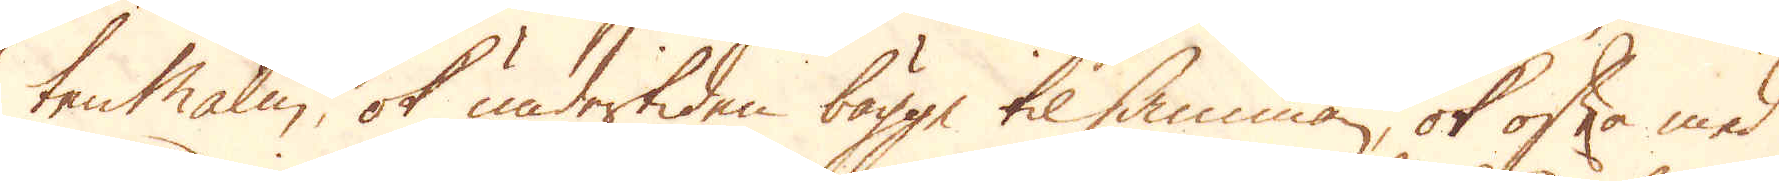ten malm, ok undertiden bägge tilsamman, ok ofta med
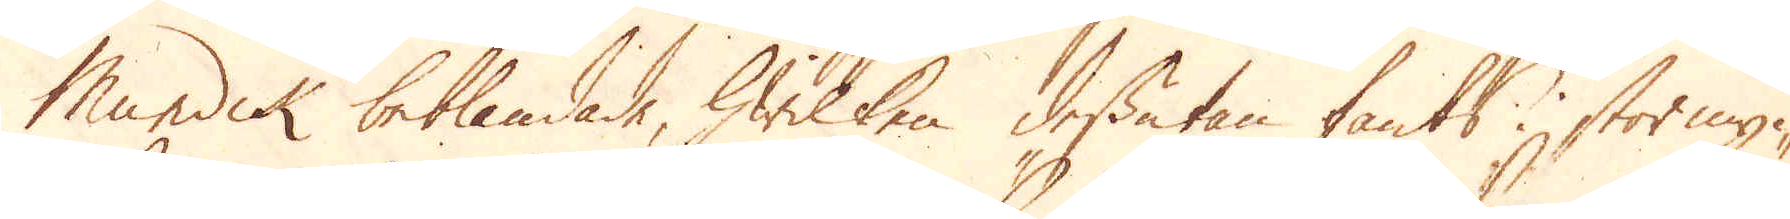Mundik beblandade, hwilken dessutan fants i stor myc-
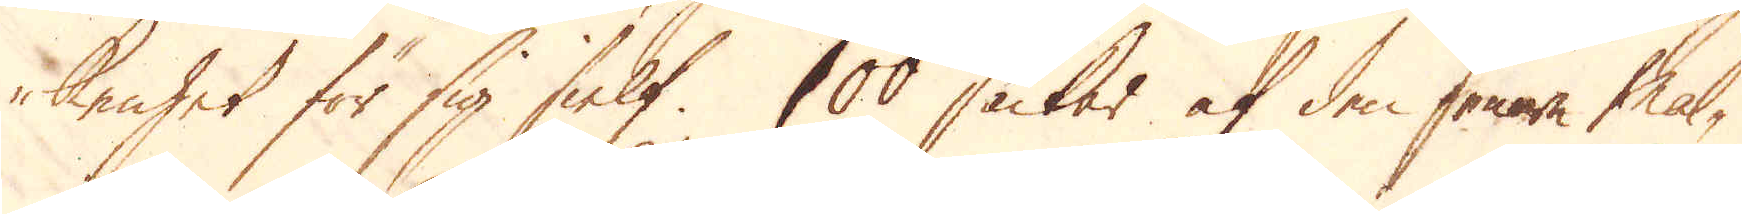kenhet för sig sielf. 100 säckar af den senare mal-
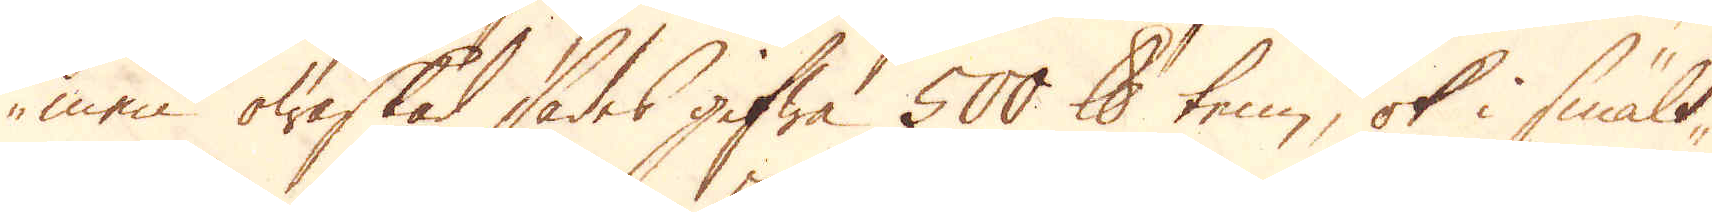men owaskad sades gifwa 500 skålpund tenn, ok i smält-
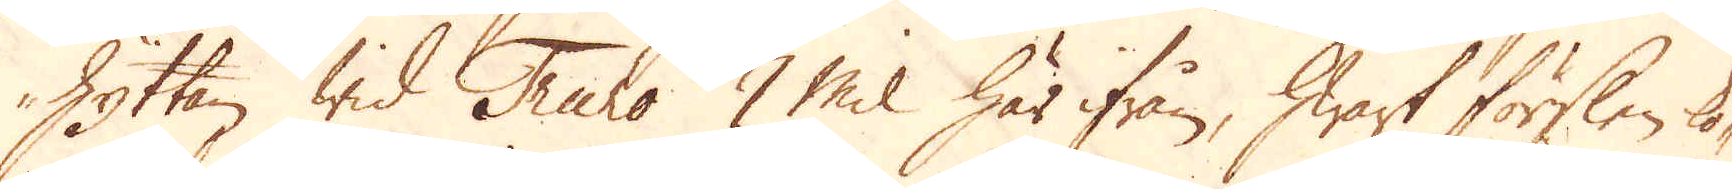Hyttan wid Truro 7 Mil här ifrån, hwart förslen ko-
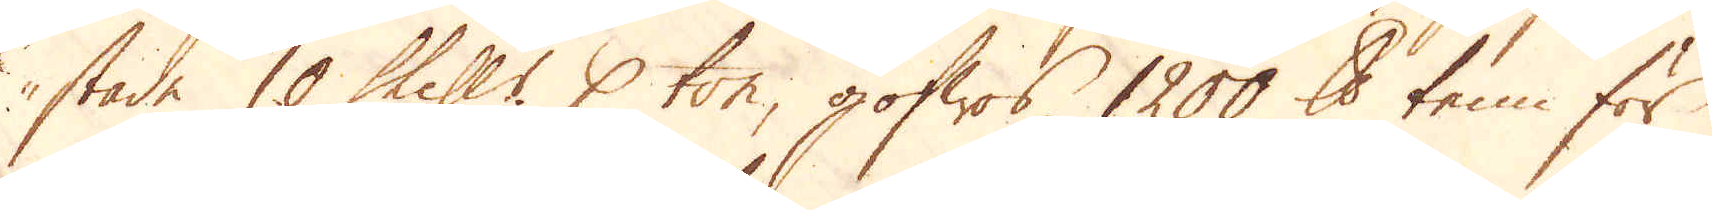stade 10 Skill:r p ton, gofwas 1200 skålpund tenn för
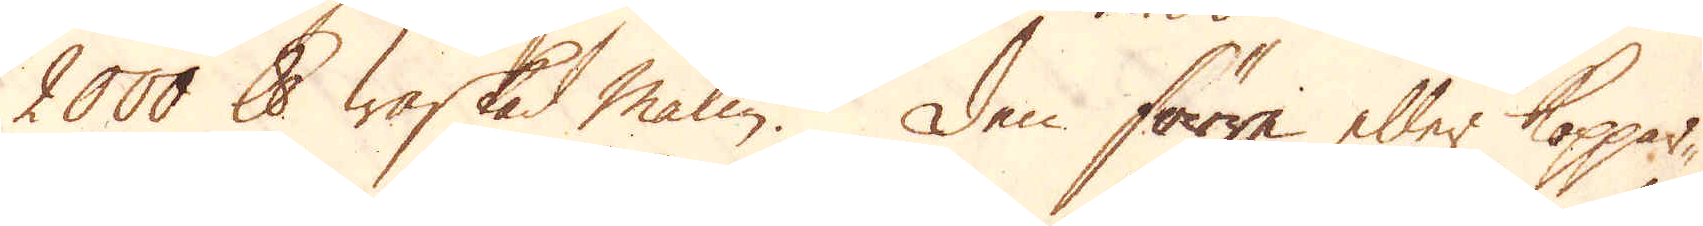2000 skålpund waskad malm. Den förre eller koppar-
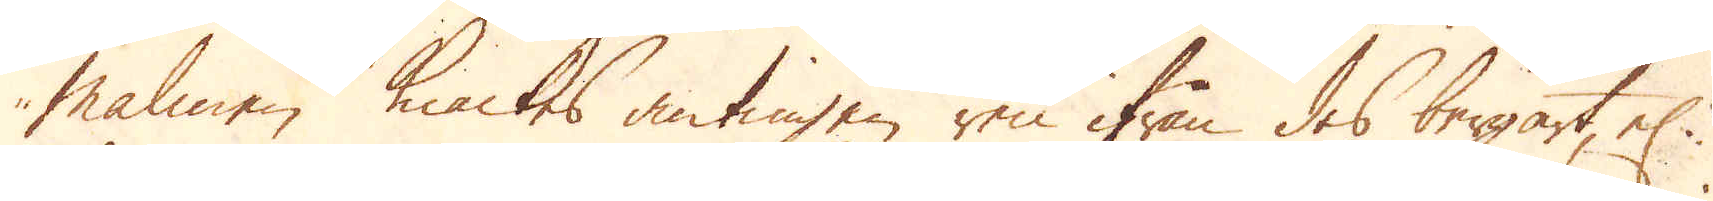malmen knackes antingen ren ifrån des bergart, el:r
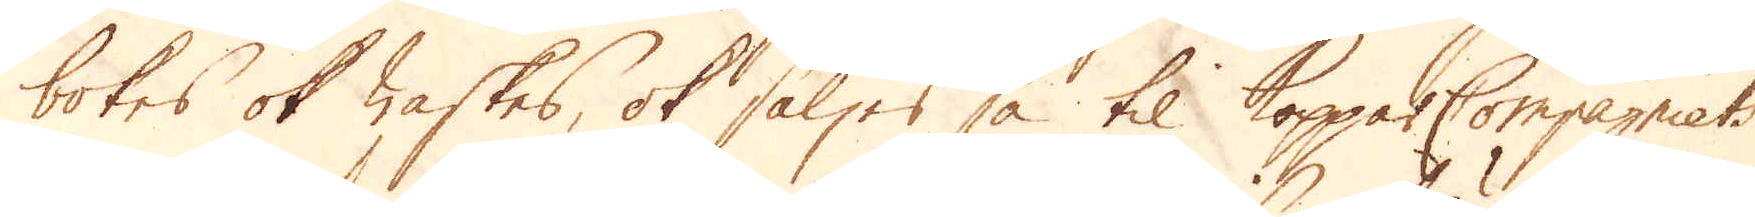bokes ok waskes, ok säljes så til Koppar Compagniets
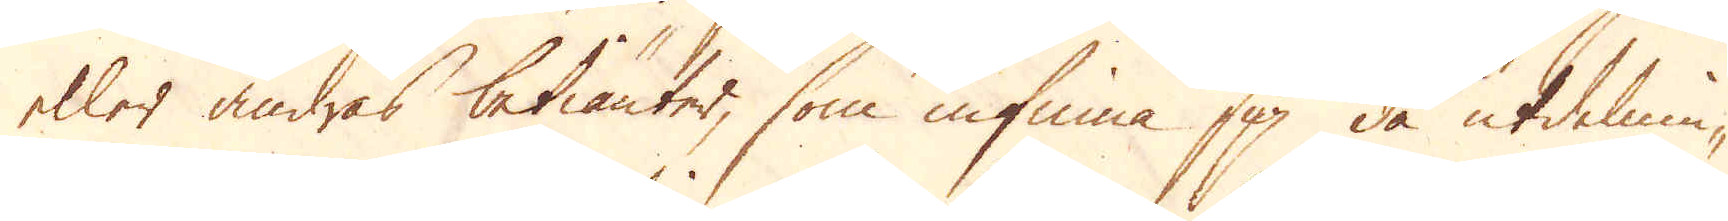eller andras betiänter, som infinna sig då utdelnin-
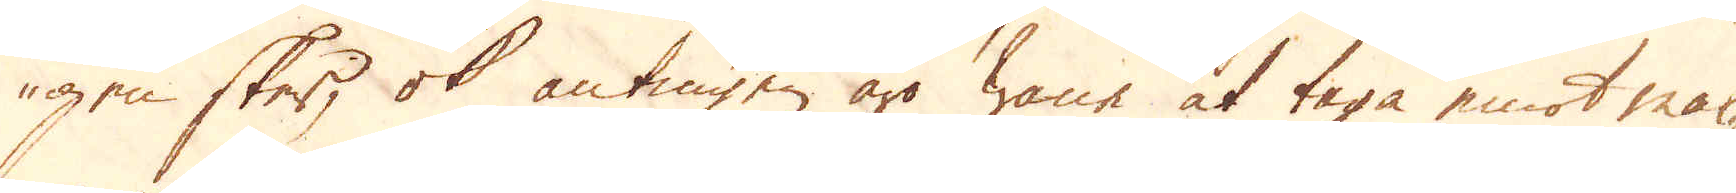gen sker, ok antingen äro wane at taga emot mal-
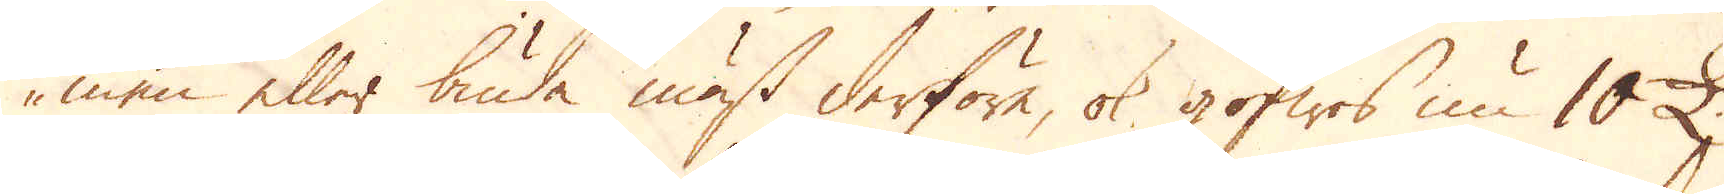men eller buda mäst derföre, ok gofwes nu 10 £.
